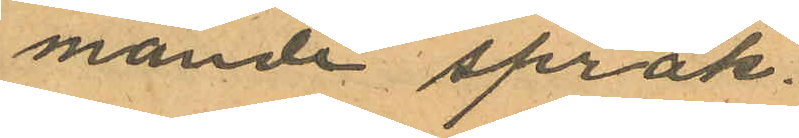mande språk.
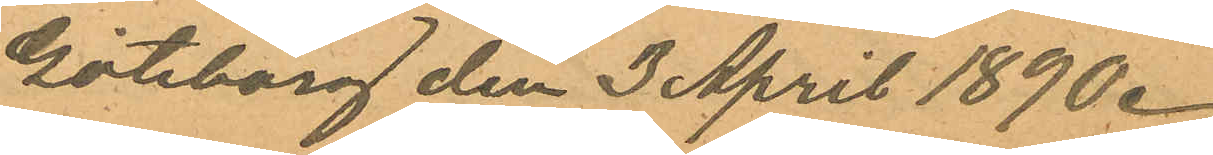Göteborg den 3 April 1890.
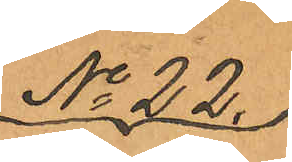No 22.
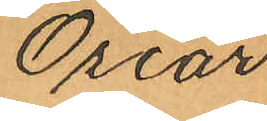Oscar
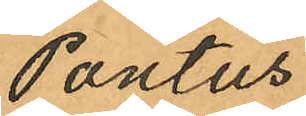Pontus
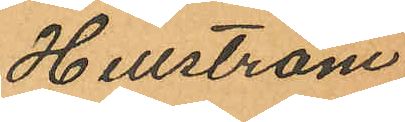Hellström
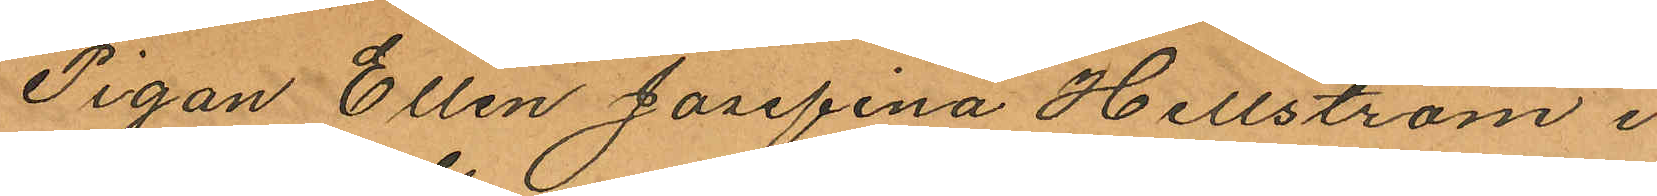Pigan Ellen Josefina Hellström i
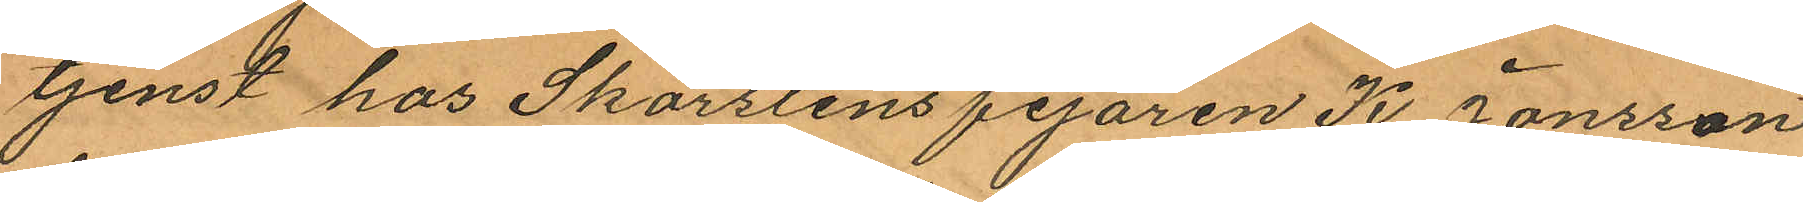tjenst hos Skorstensfejaren K Jonsson
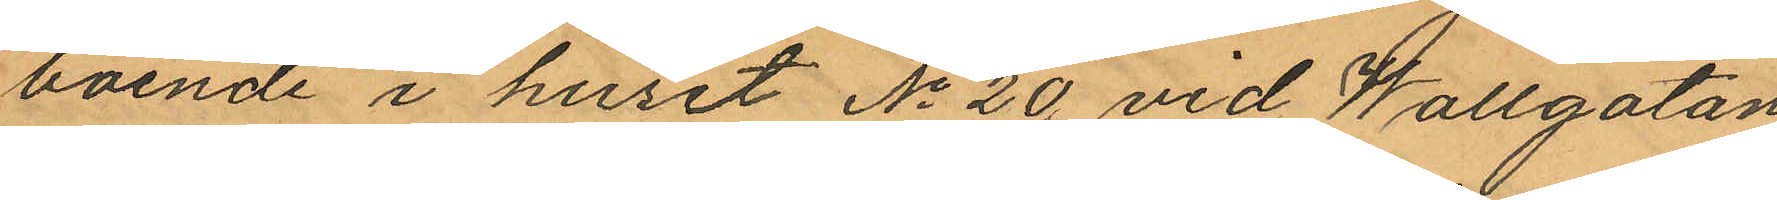boende i huset No 20 vid Wallgatan
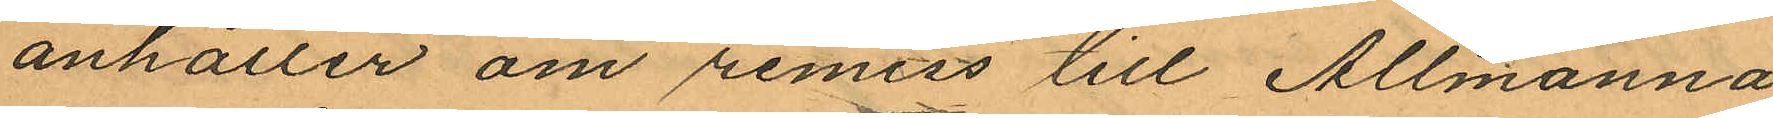anhåller om remiss till Allmänna
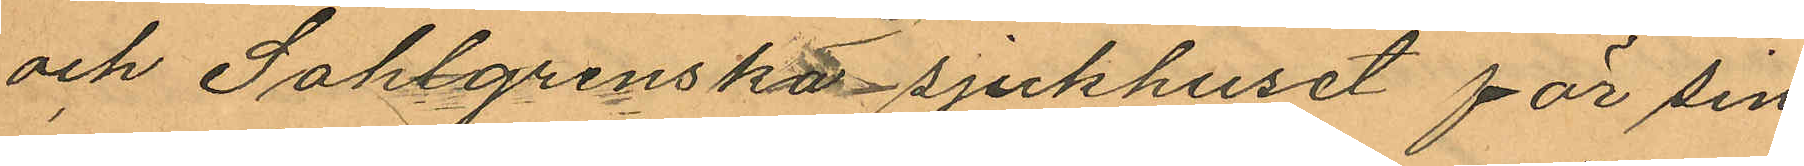och Sahlgrenska sjukhuset för sin
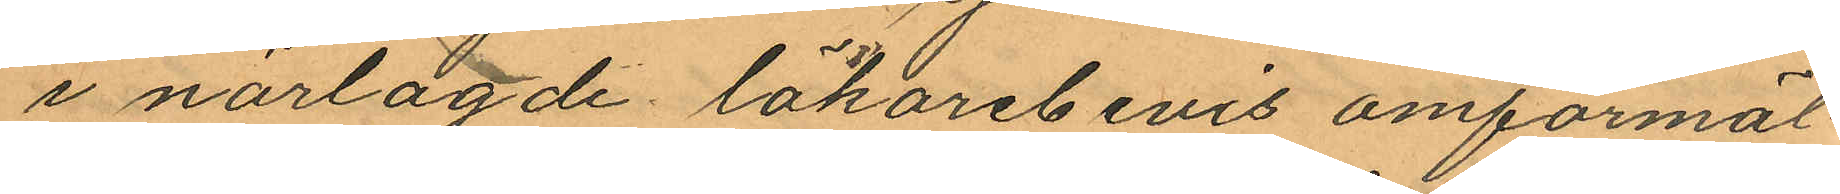i närlagde läkarebevis omförmäl¬
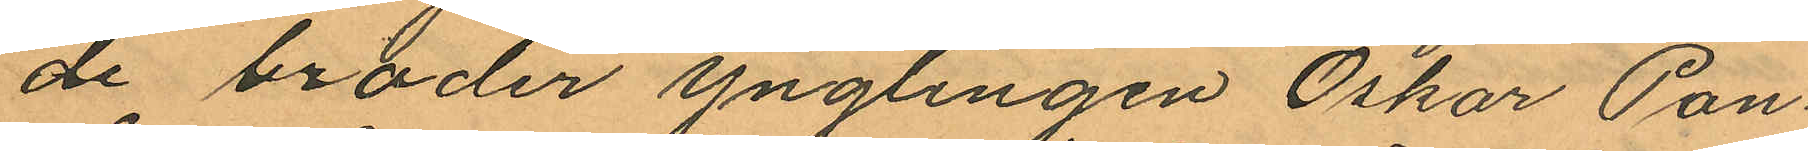de broder ynglingen Oskar Pon¬
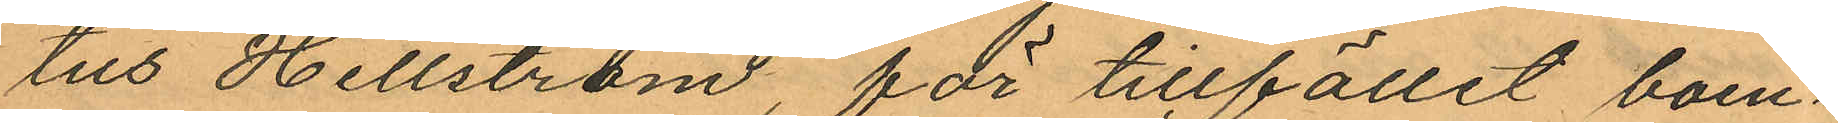tus Hellström, för tillfället boen¬
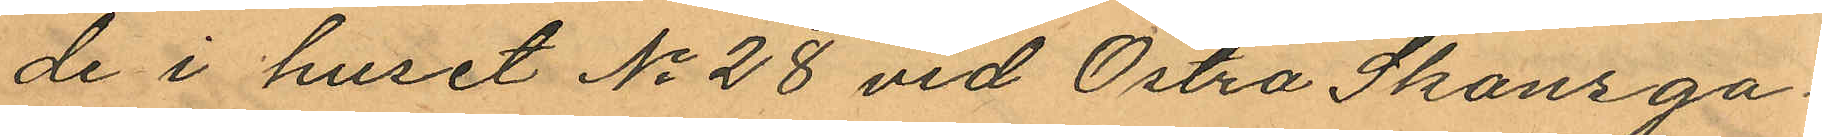de i huset No 28 vid Östra Skansga¬
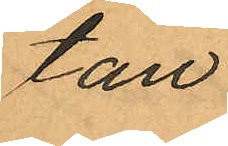tan.
